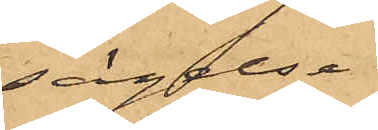sägelse
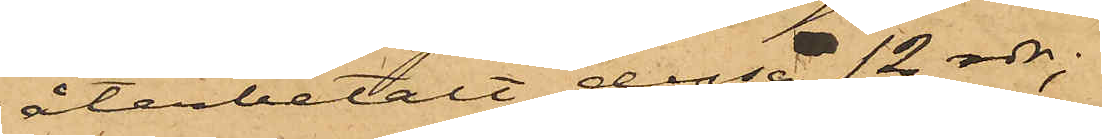återbetalt dessa 12 rdr;
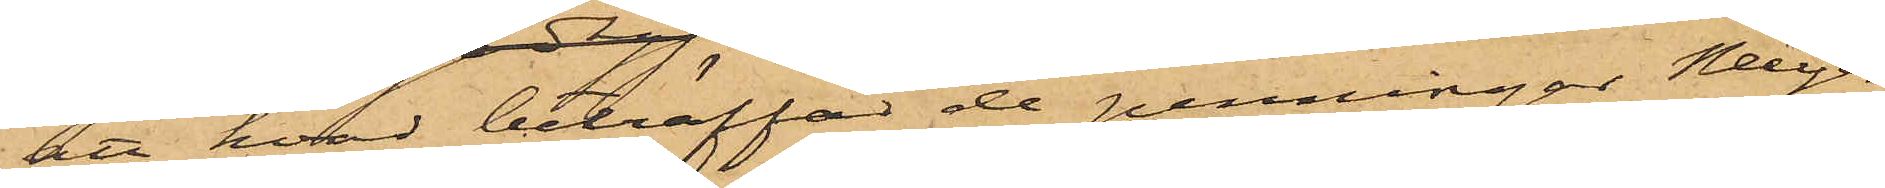att hvad beträffat de penningar Meyer
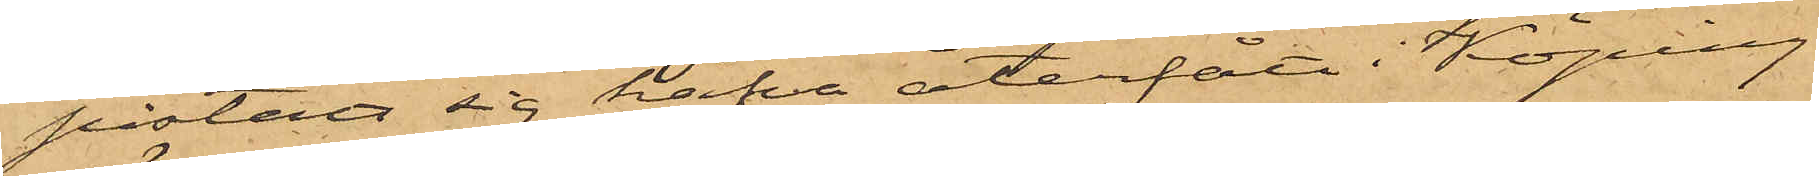påstått sig hafva återfått i Köping
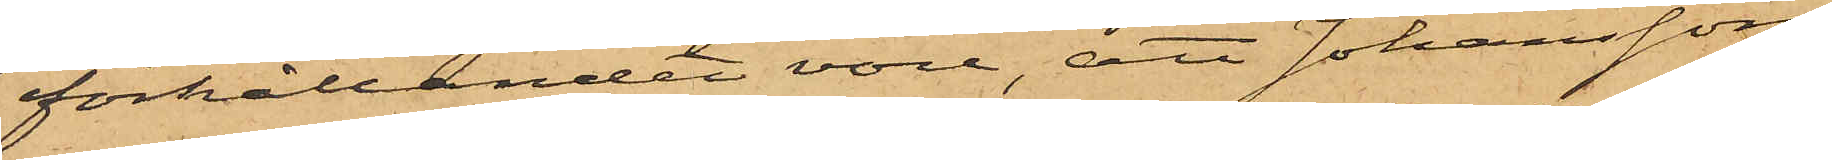förhållandet vore, att Johansson
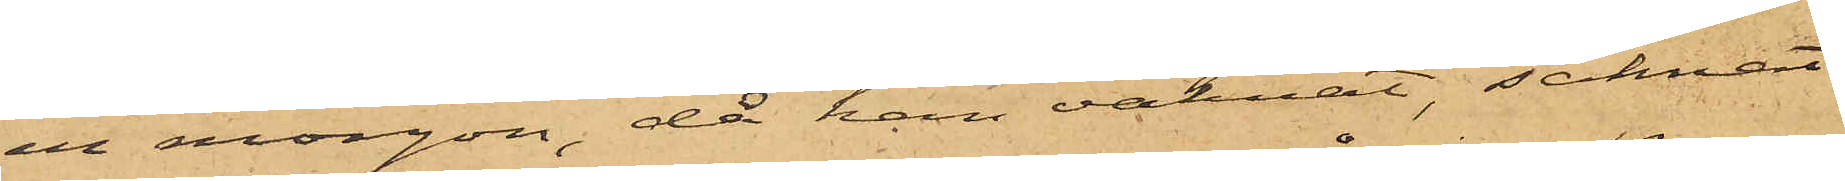en morgon, då han vaknat, saknat
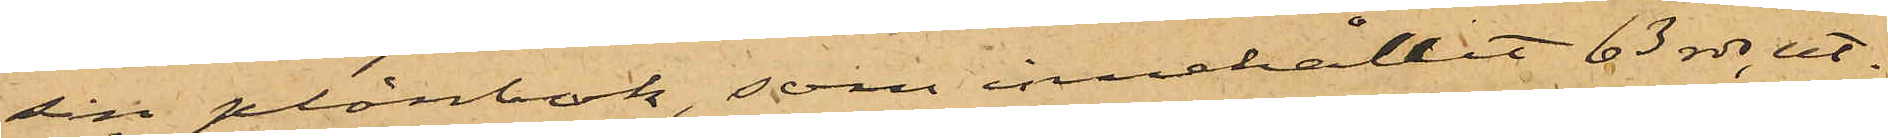sin plånbok, som innehållit 63 rdr, ut¬
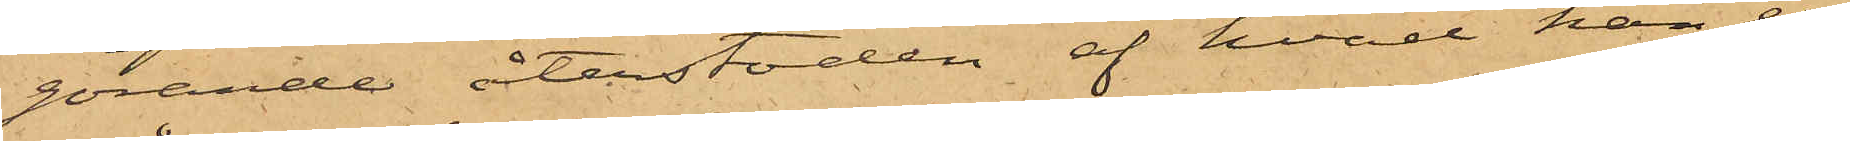görande återstoden af hvad han er¬
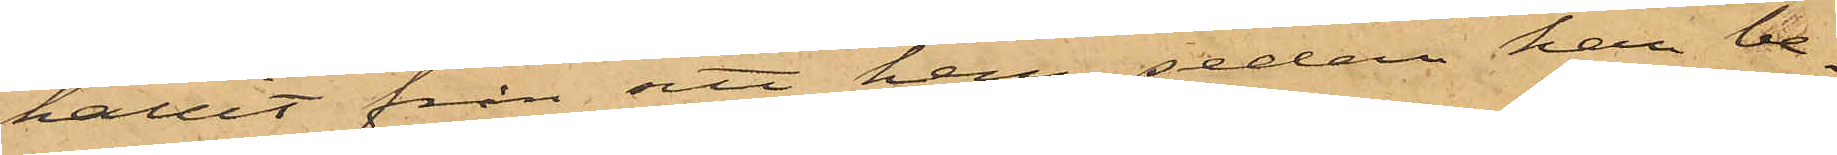hållit från sitt hem, sedan han be¬
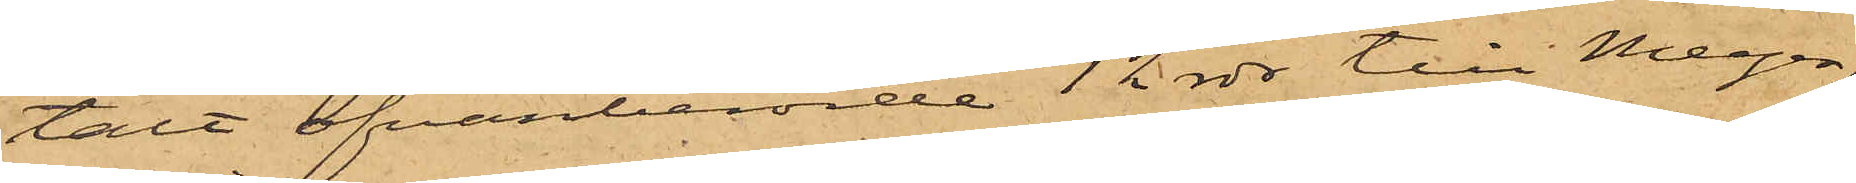talt ofvanberörde 12 rdr till Meyer,
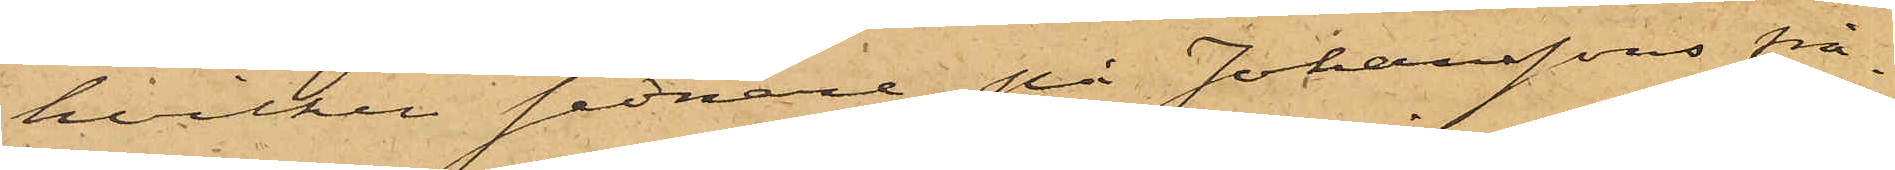hvilken sednare, på Johanssons frå¬
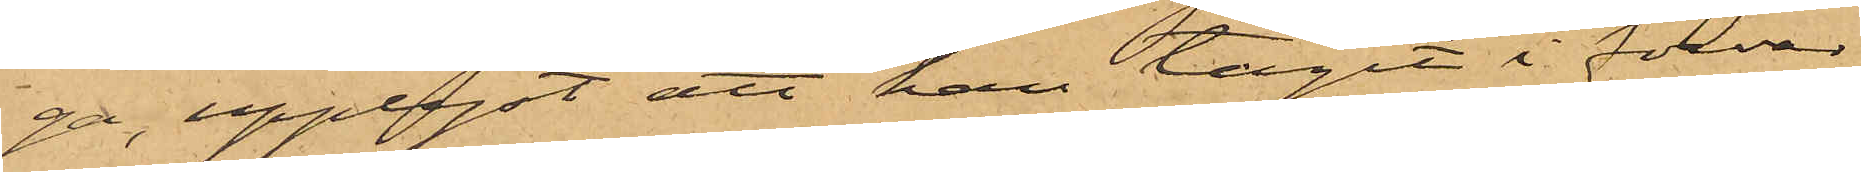ga, upplyst att han tagit i förvar
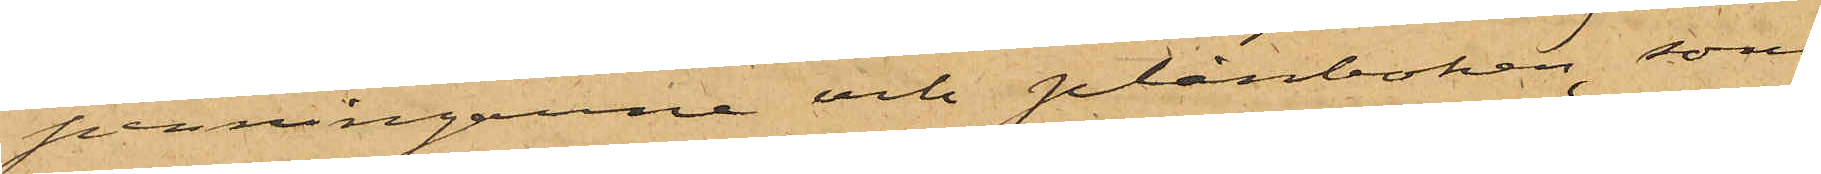penningarne och plånboken, som
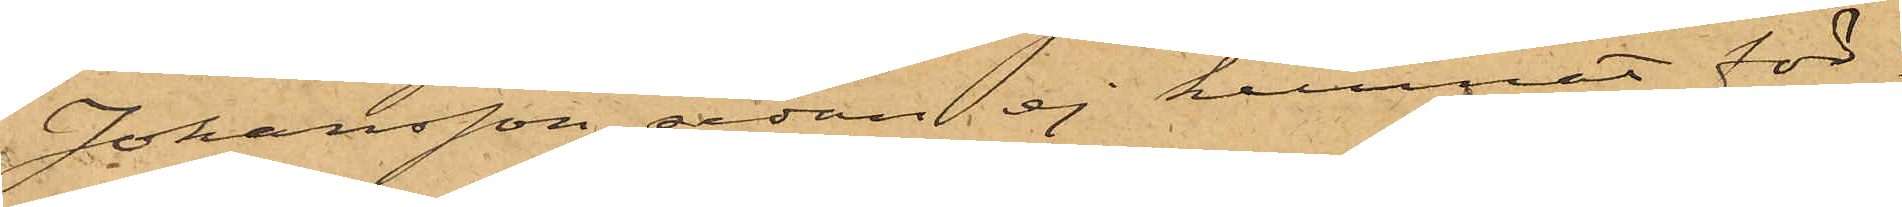Johansson sedan ej kunnat för¬
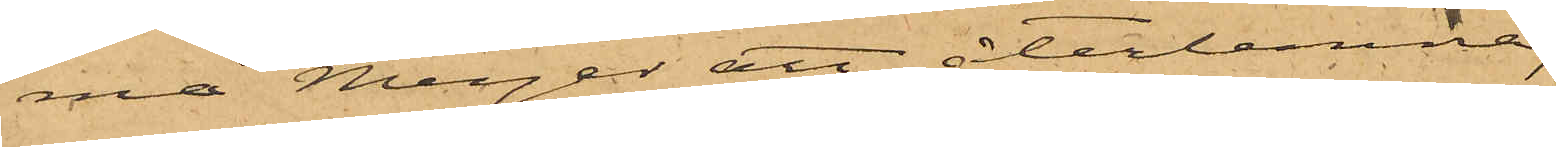må Meyer att återlemna;
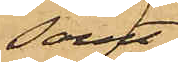samt
